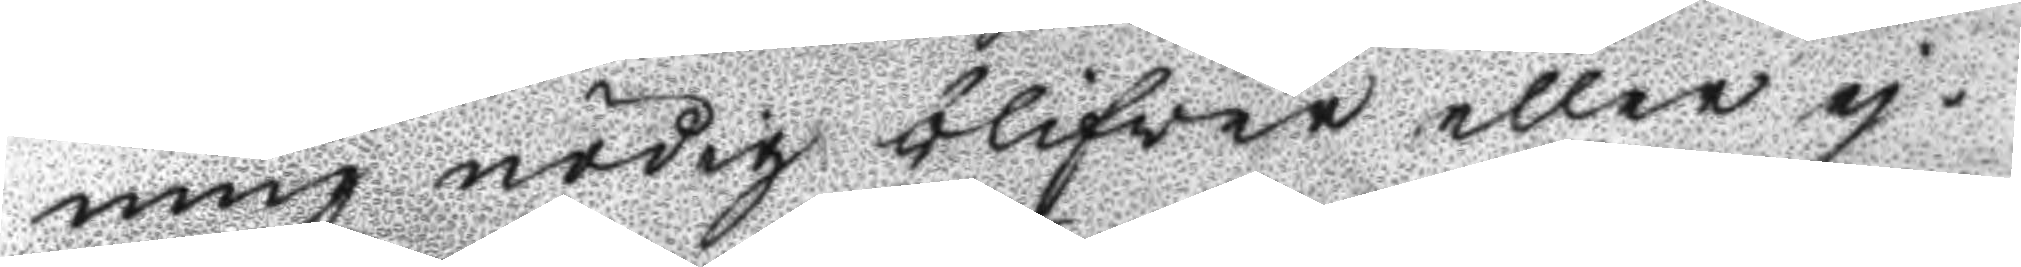ning nådig blifver eller ej.
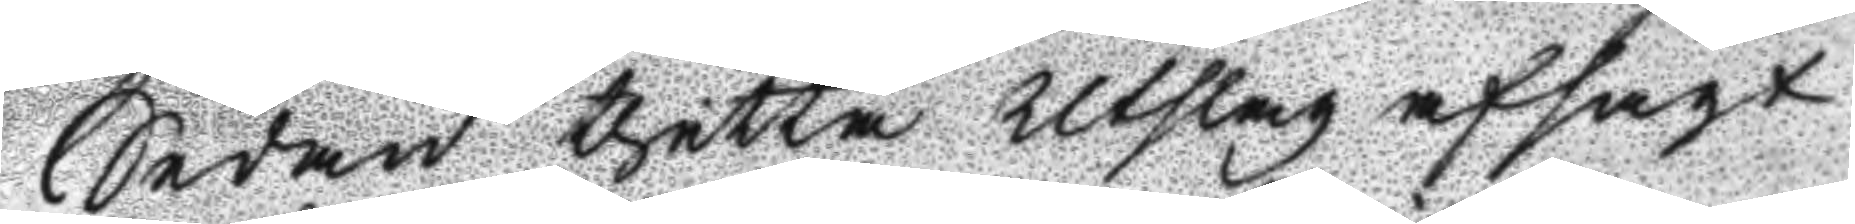Sedan thetta Utslag afsagt
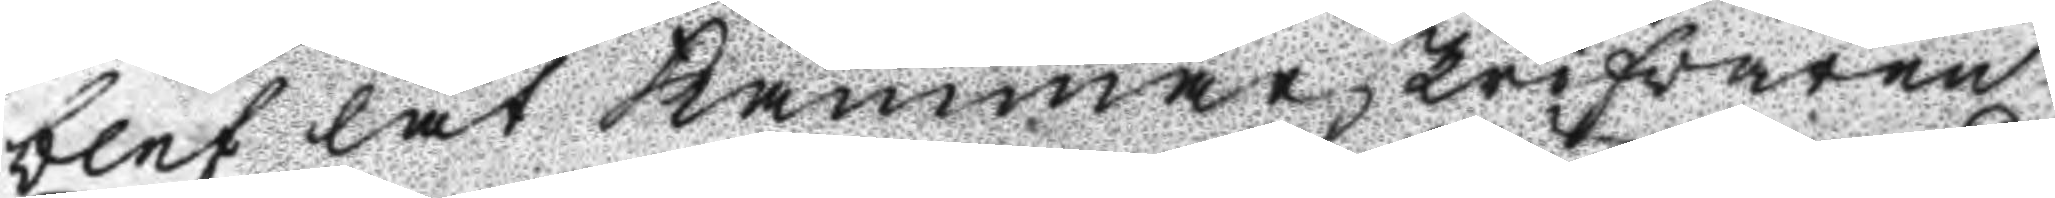blef lät Kammar skrifvaren
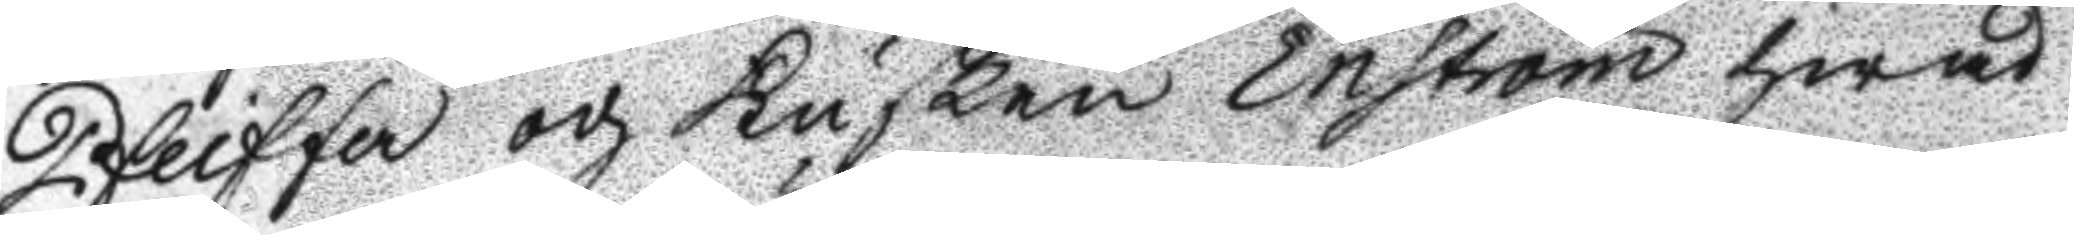Pfeiffer och Kusken Enström hwad
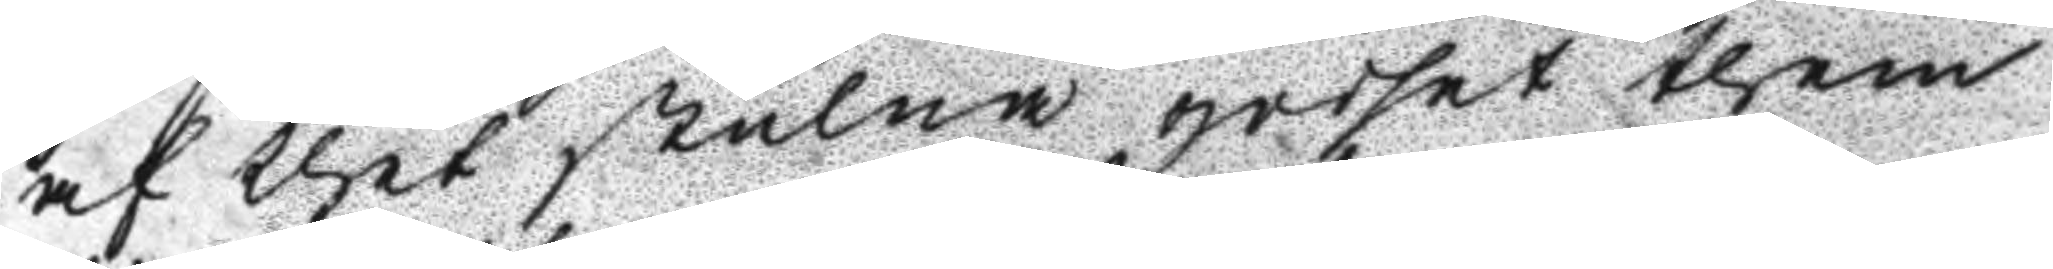af thet stulna godset them
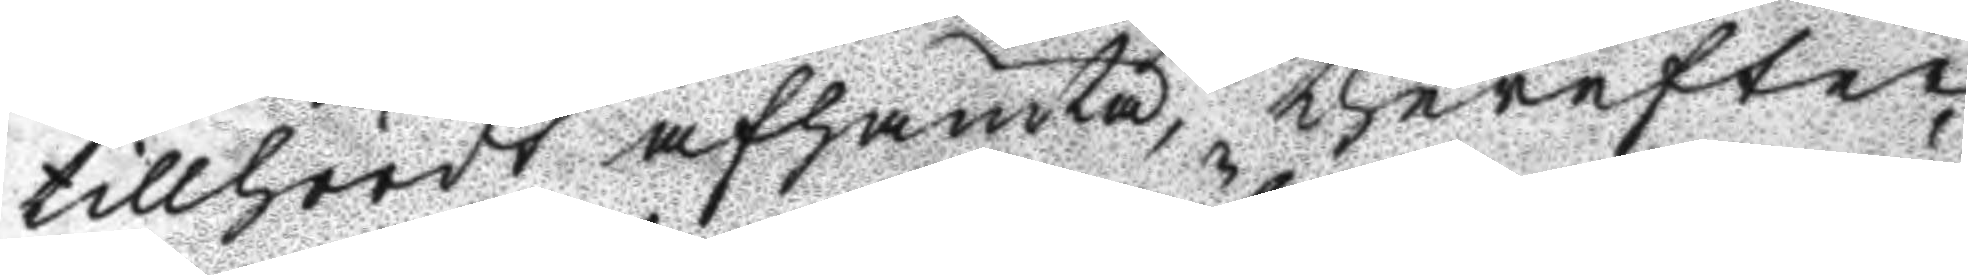tillhördt afhämta, therefter
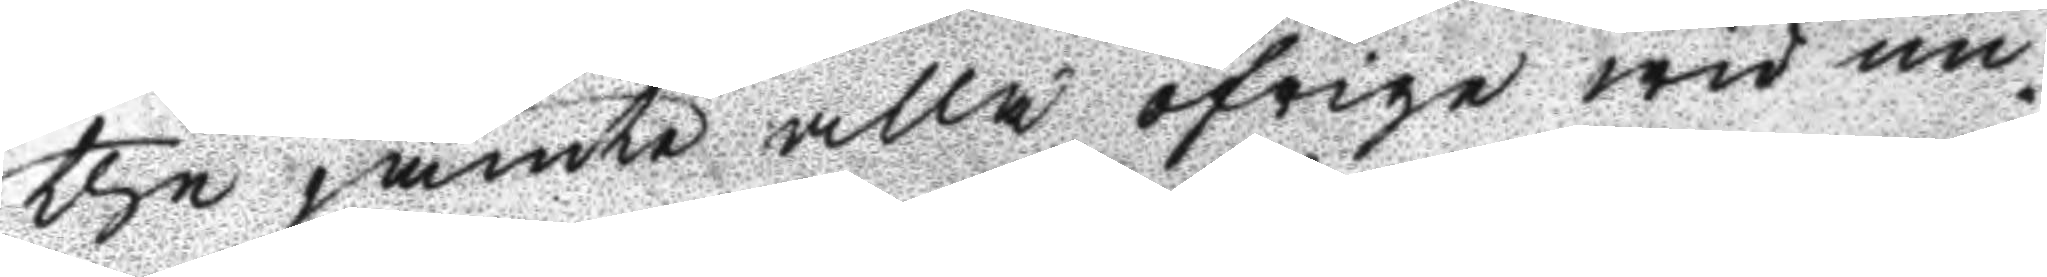the jämte alla öfrige wid un¬
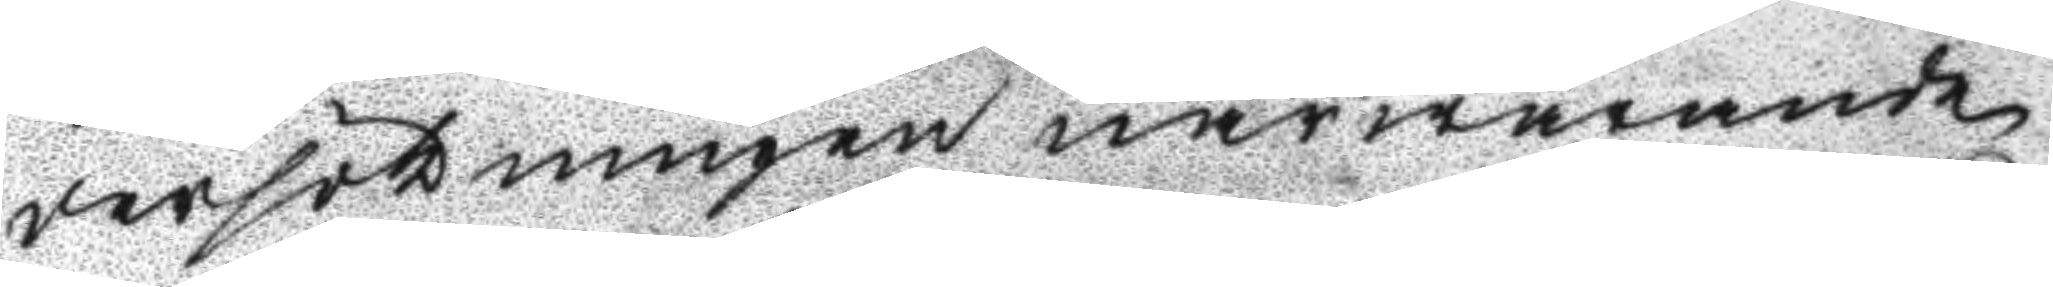dersökningen närwarande
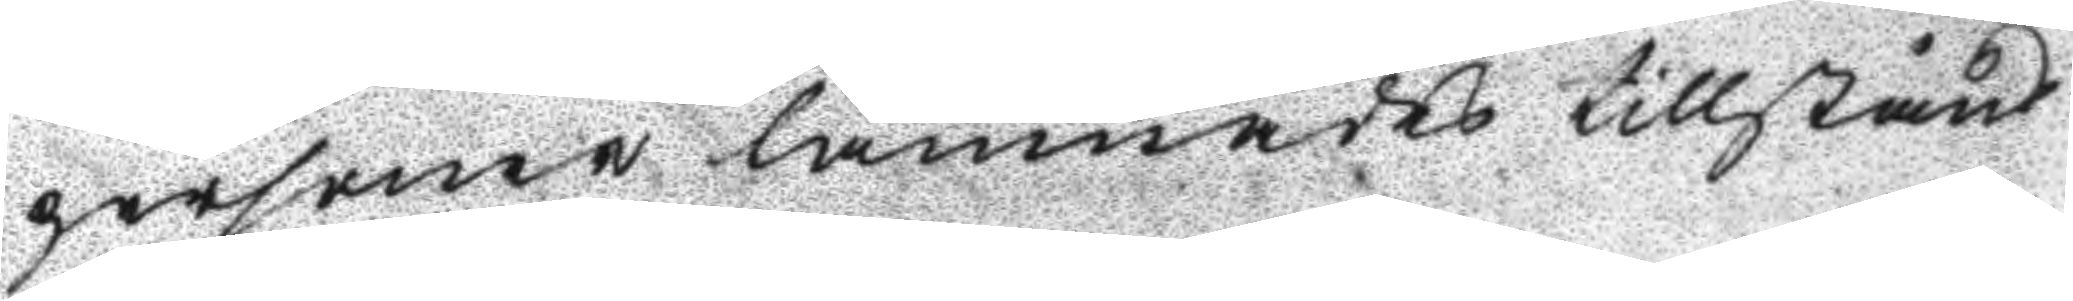personer lämnades tillstånd
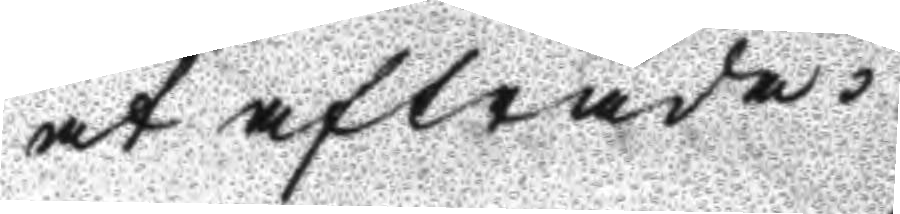at afträda.
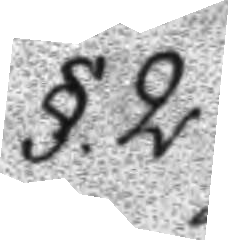§.2.
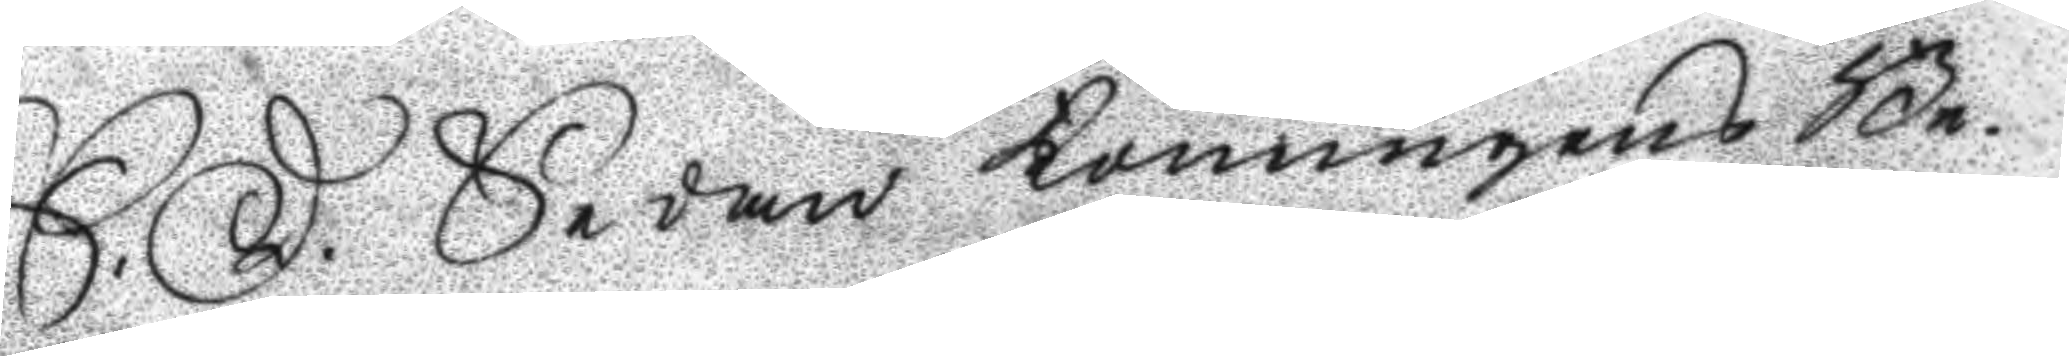S:D: Sedan Konungens Be¬
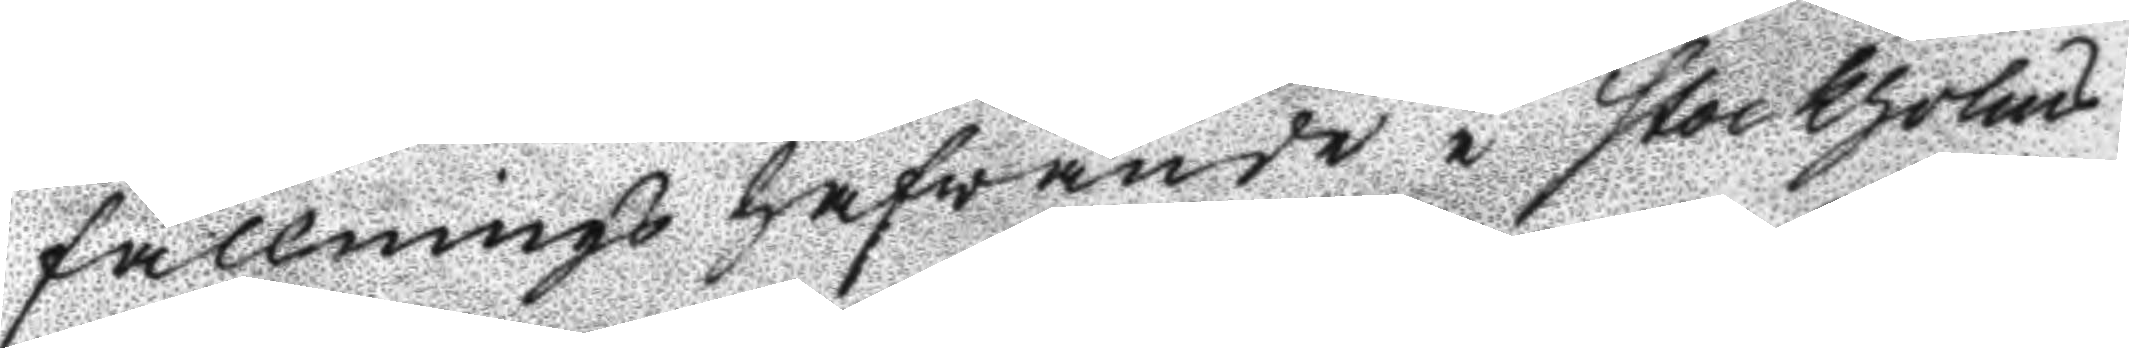fallnings hafvande i Stockholms
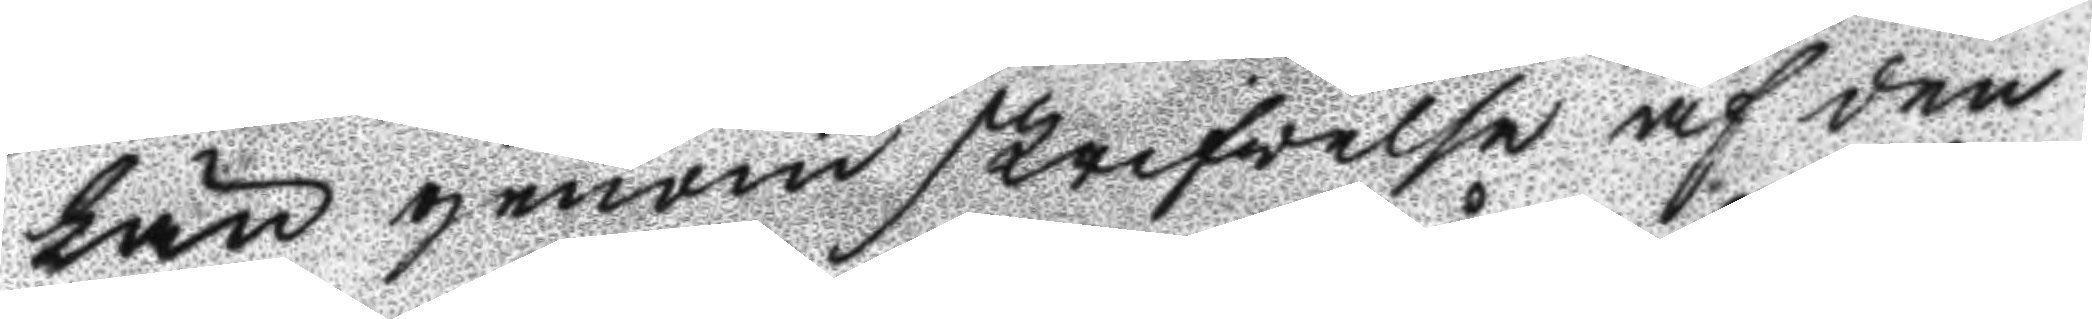Län genom skrifwelse af den
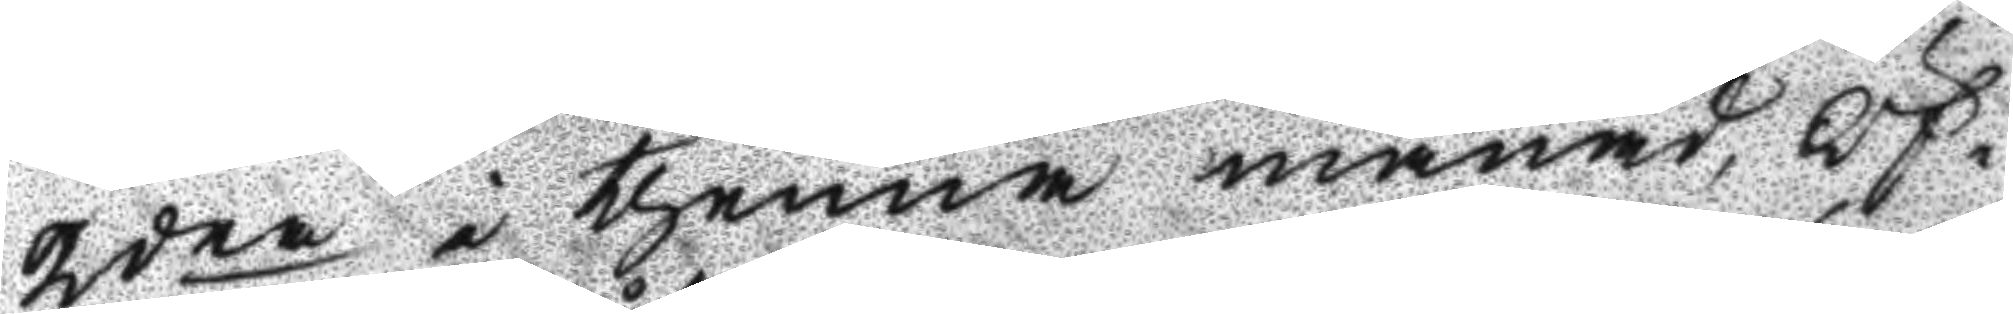2dra i thenna månad, Öf¬
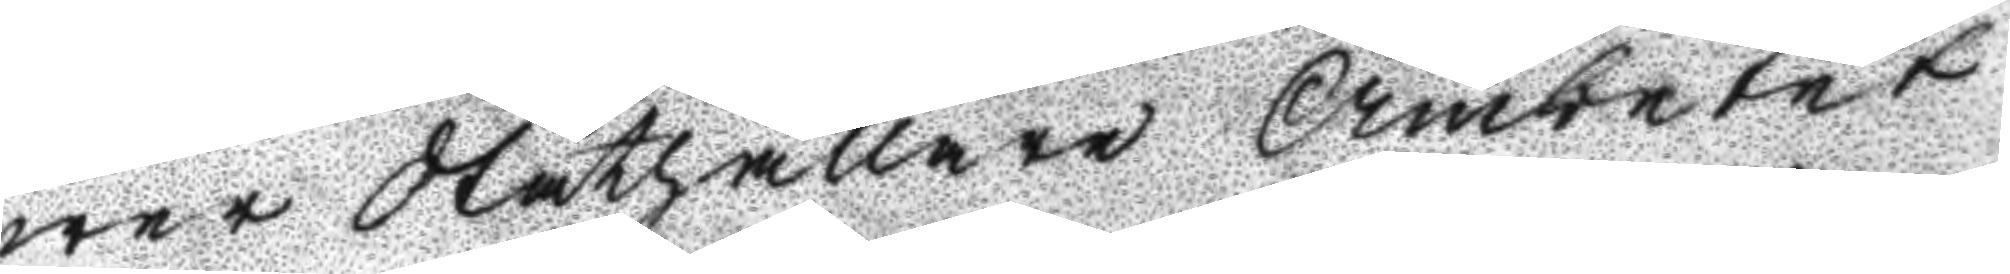wer Ståthållare Ämbetet
